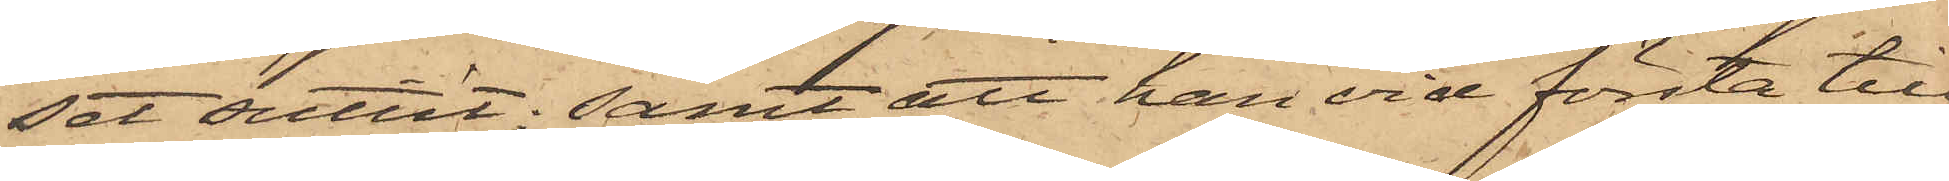set suttit; samt att han vid första till¬
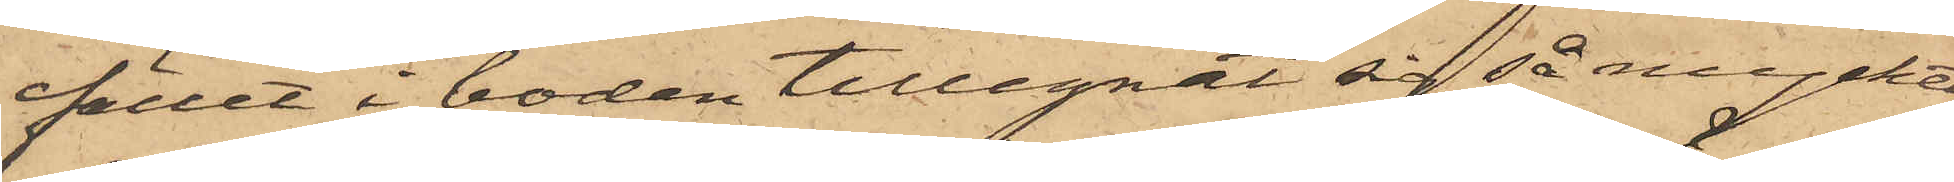fället i boden tillegnat sig så mycket
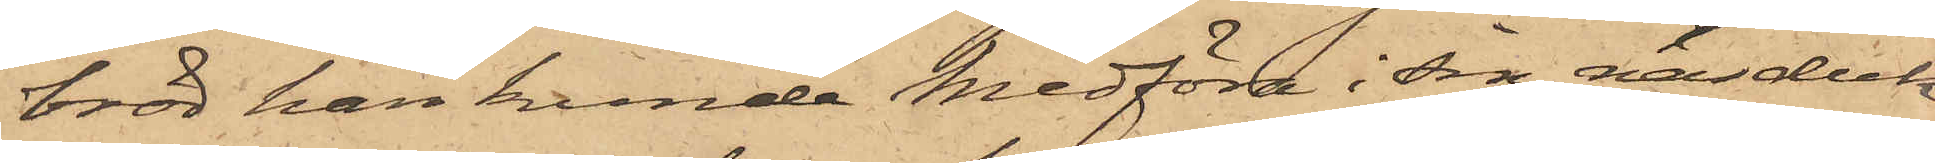bröd han kunde medföra i sin näsduk
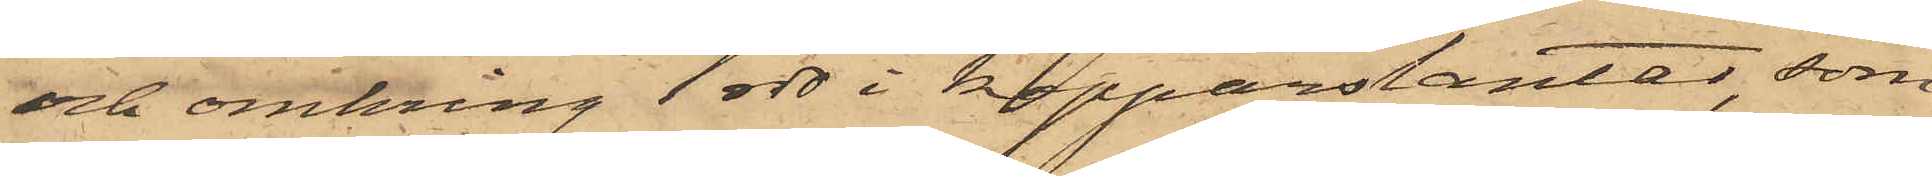och omkring 1 rdr i kopparslantar, som
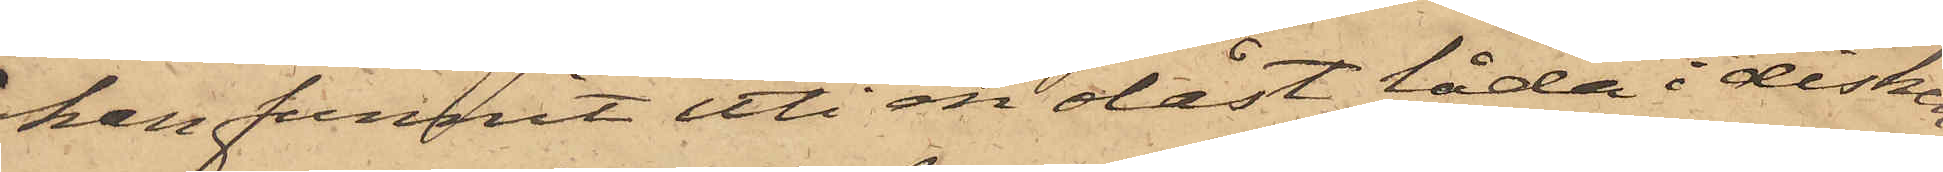han funnit uti en olåst låda i disken,
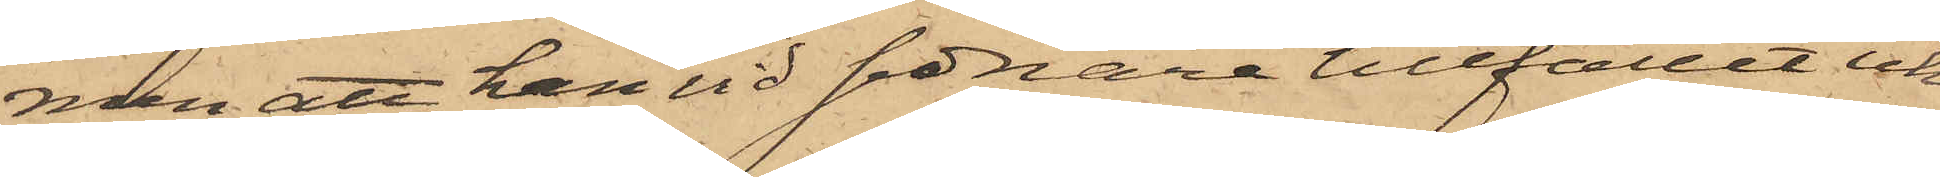men att han vid sednare tillfället icke
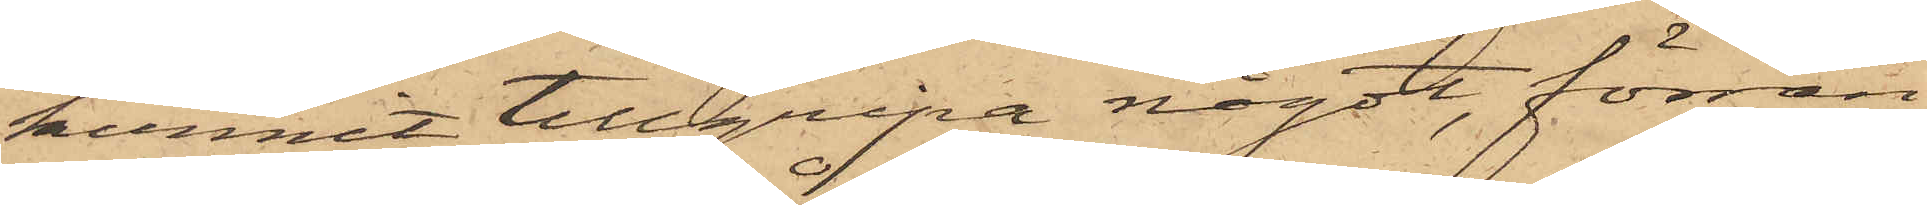hunnit tillgripa något, förrän
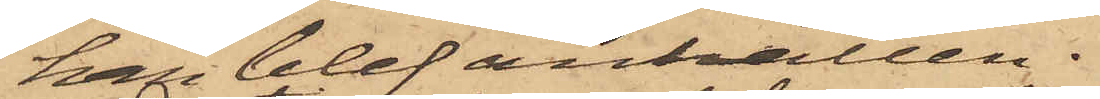han blef anhållen.
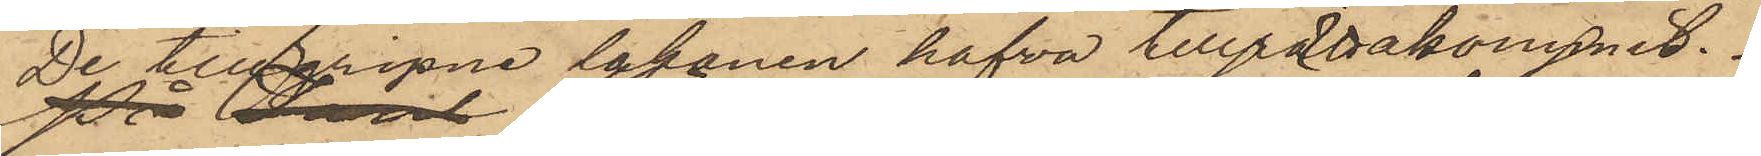De tillgripne lakanen hafva tillrättakommit.
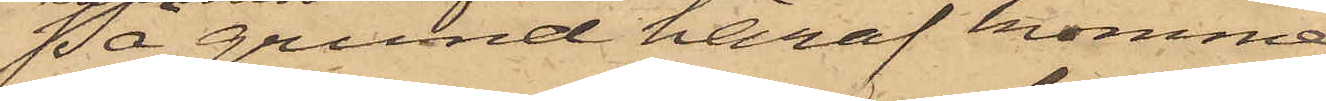På grund häraf kommer
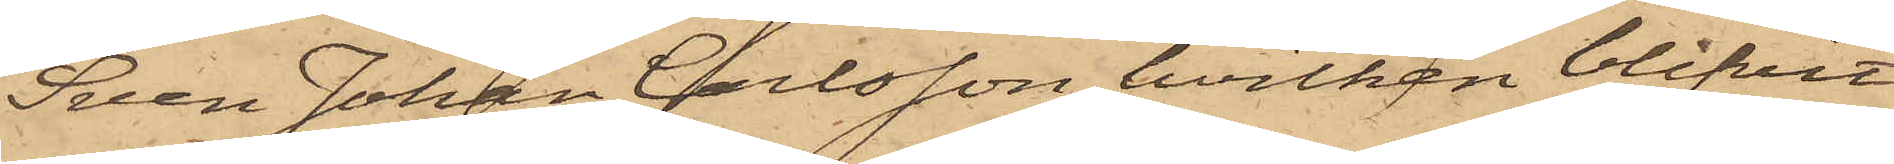Sven Johan Carlsson, hvilken blifvit
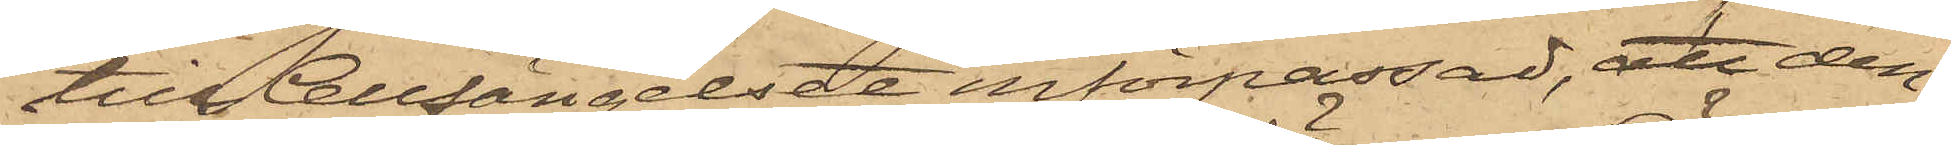till Cellfängelset införpassad, att den¬
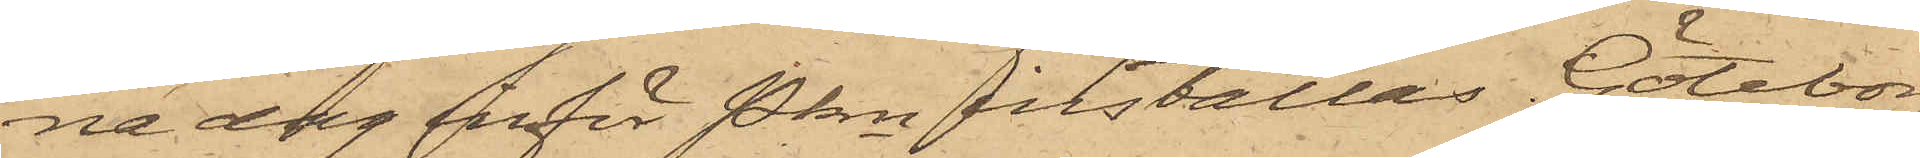na dag inför Pkn inställas. Göteborg
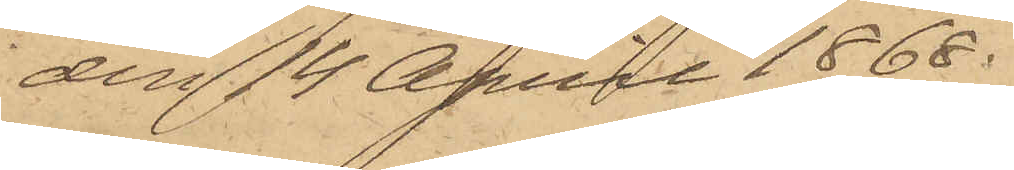den 14 April 1868.
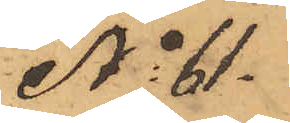No 61.
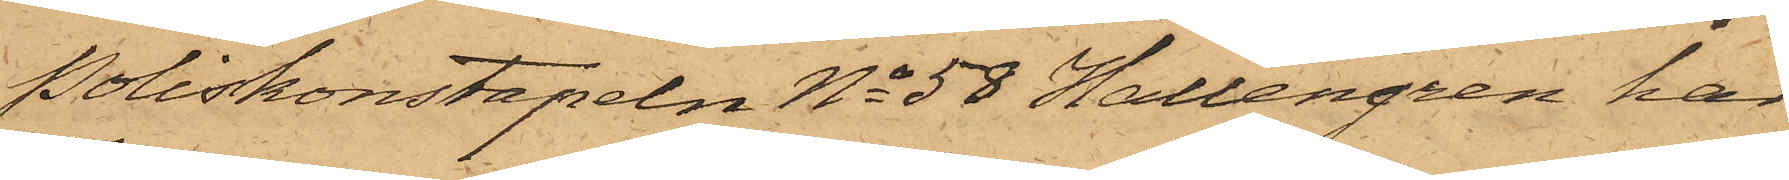Poliskonstapeln No 58 Hallengren har
